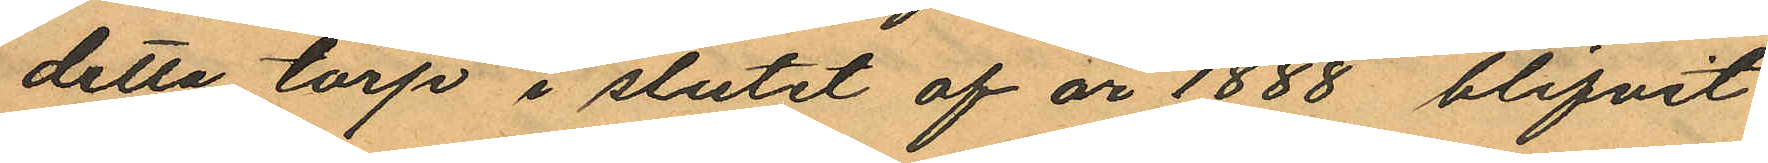detta torp i slutet af år 1888 blifvit
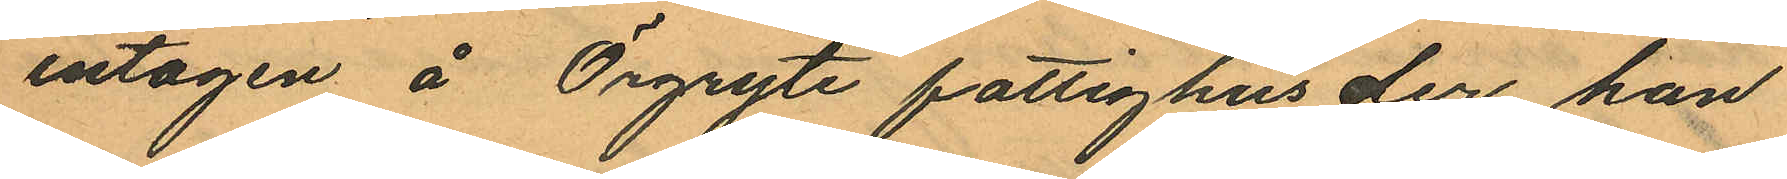intagen å Örgryte fattighus der han
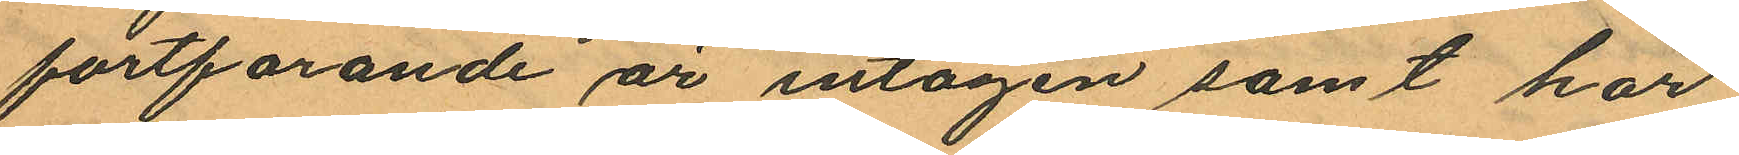fortfarande är intagen samt har
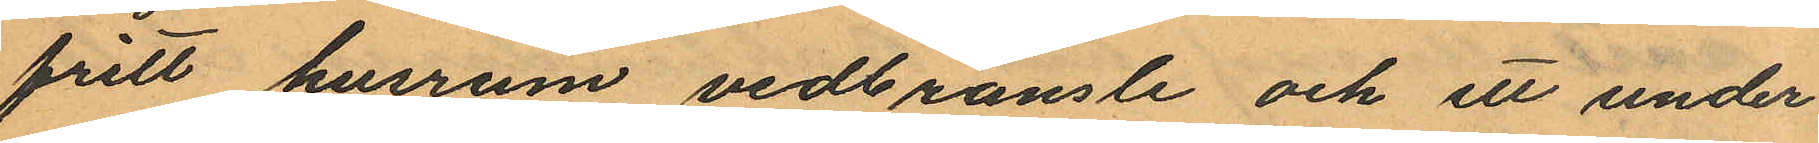fritt husrum vedbränsle och ett under¬
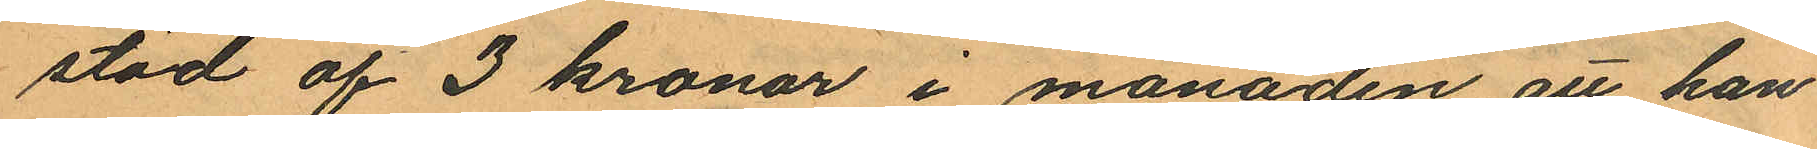stöd af 3 kronor i månaden, att han
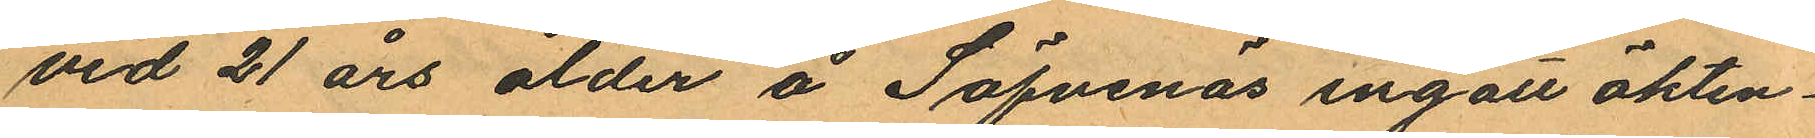vid 21 års ålder å Säfvenäs ingått äkten¬
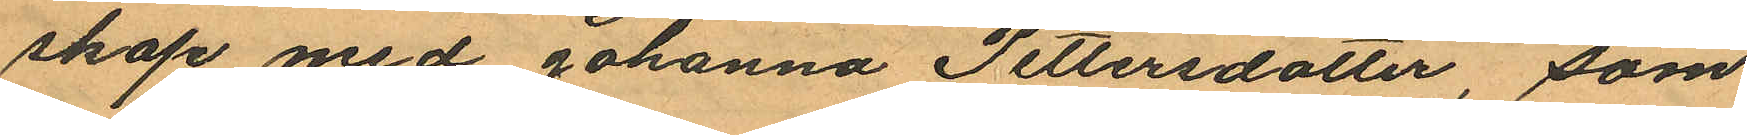skap med Johanna Pettersdotter, som
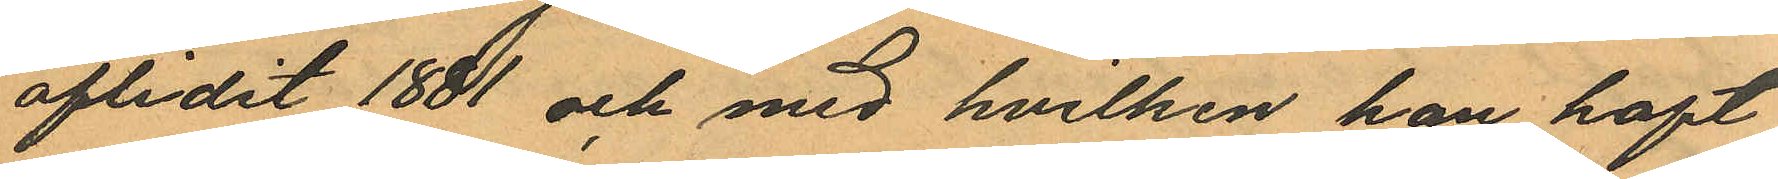aflidit 1881 och med hvilken han haft
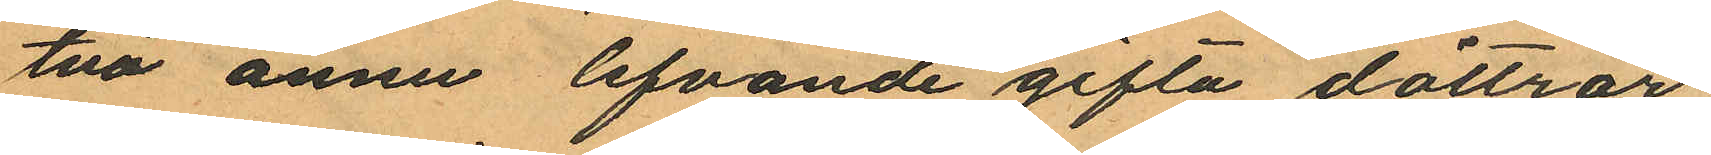två ännu lefvande gifta döttrar,
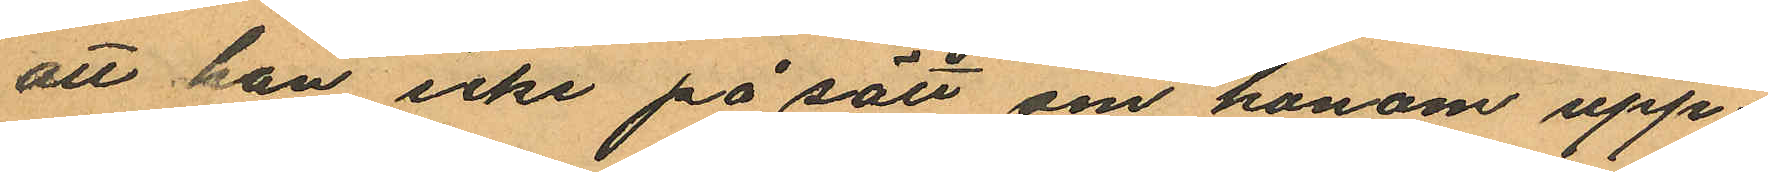att han icke på sätt om honom upp¬
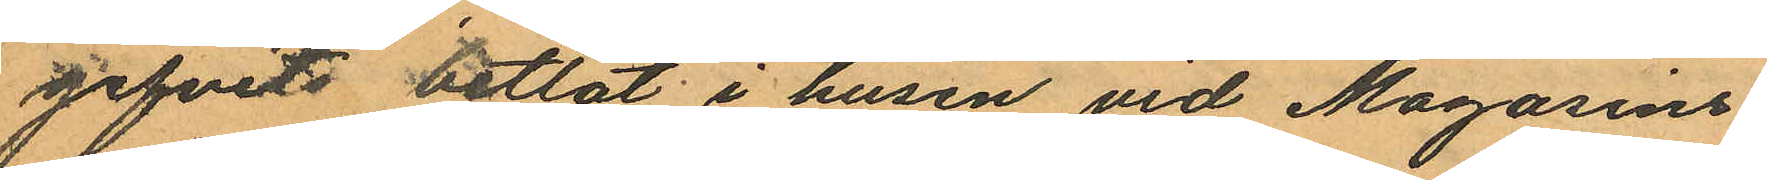gifvits betlat i husen vid Magasins¬
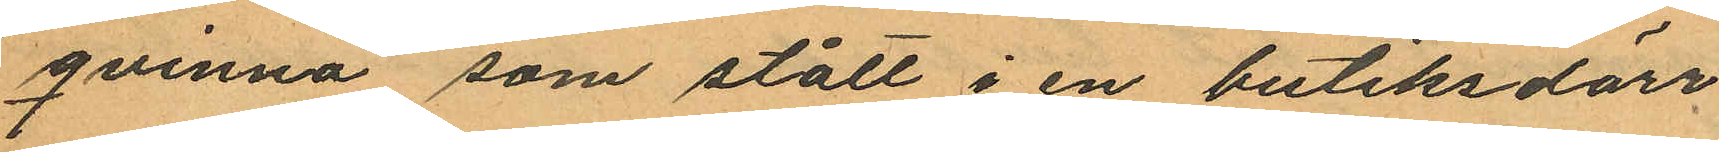qvinna, som stått i en butiksdörr
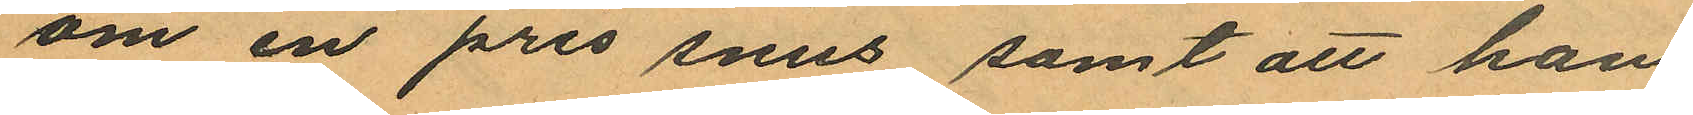om en pris snus samt att han
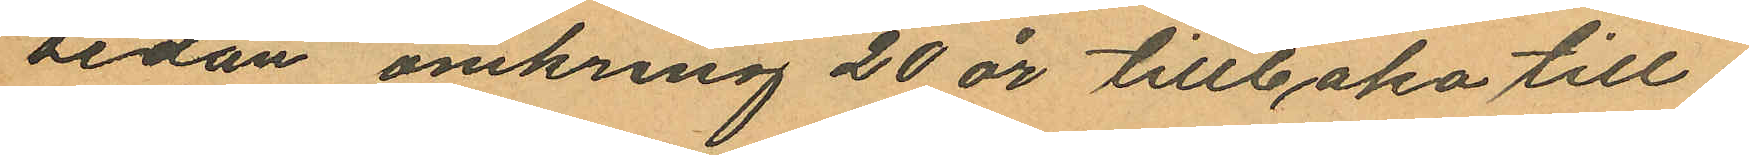sedan omkring 20 år tillbaka till¬
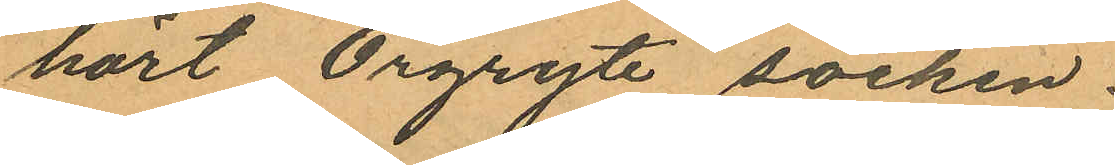hört Örgryte socken.
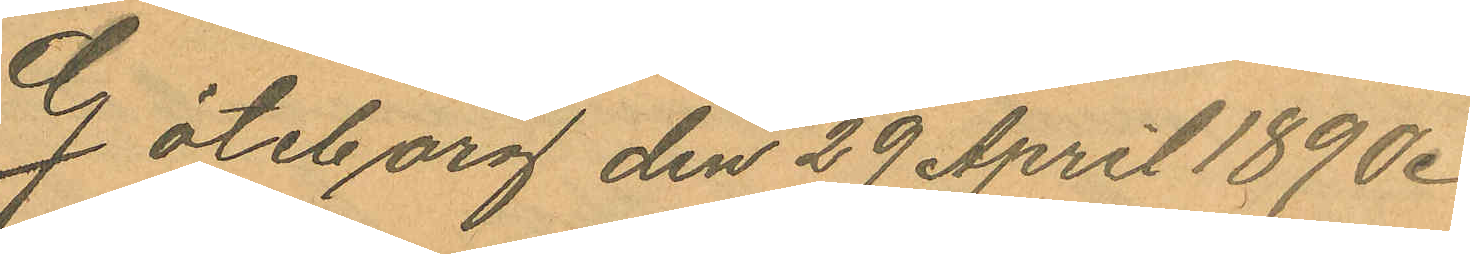Göteborg den 29 April 1890.
